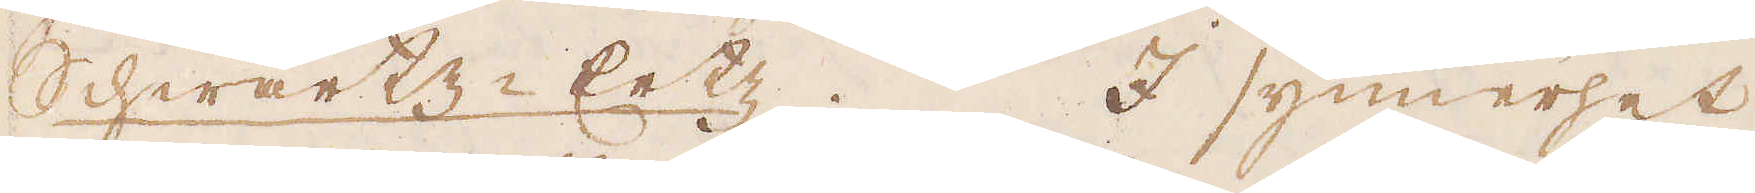Schwartz-Ertz. I synnerhet
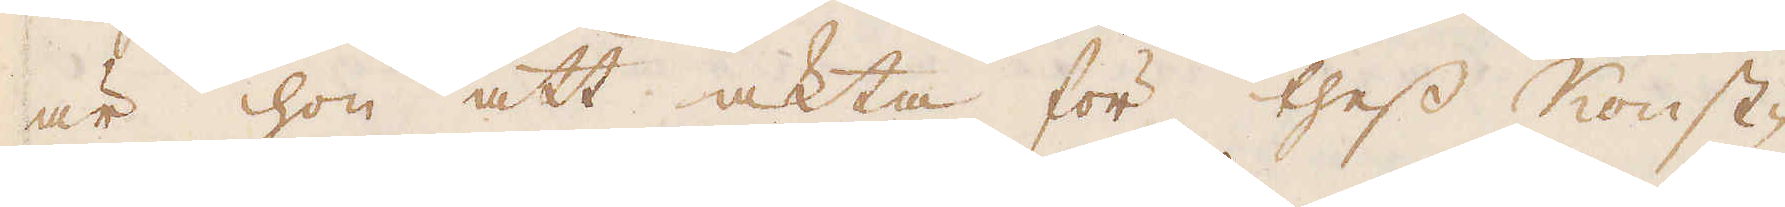är hon att akta för thess Konst-
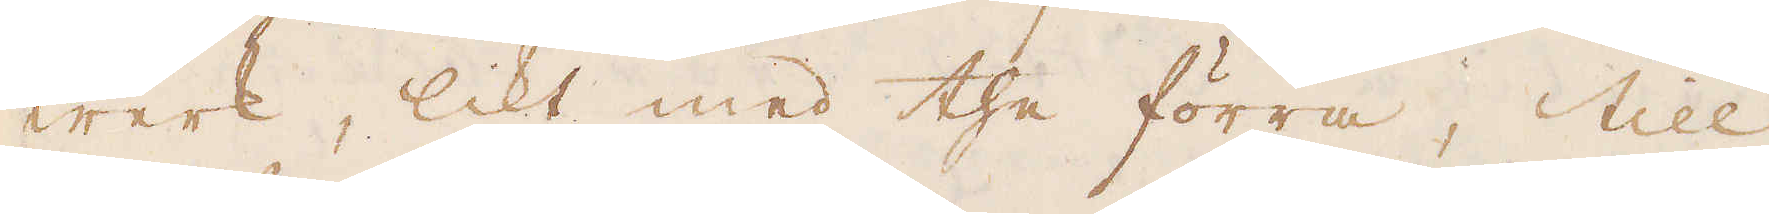werk, likt med the förra, till
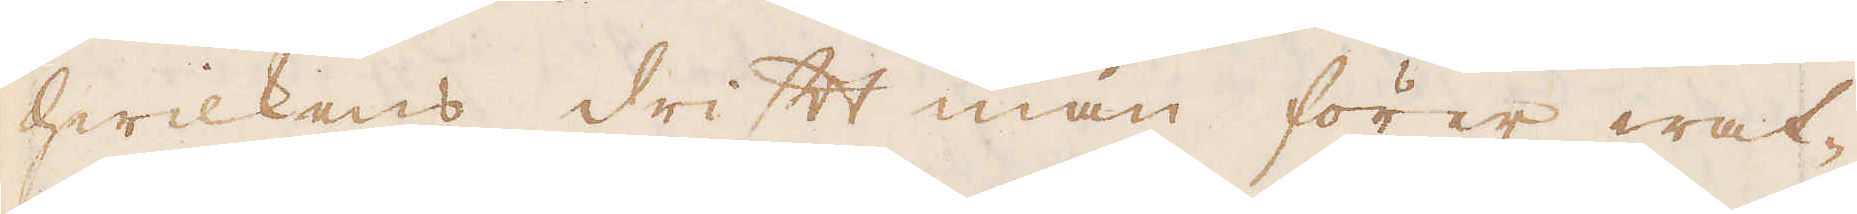hwilkens drift man förer wat-
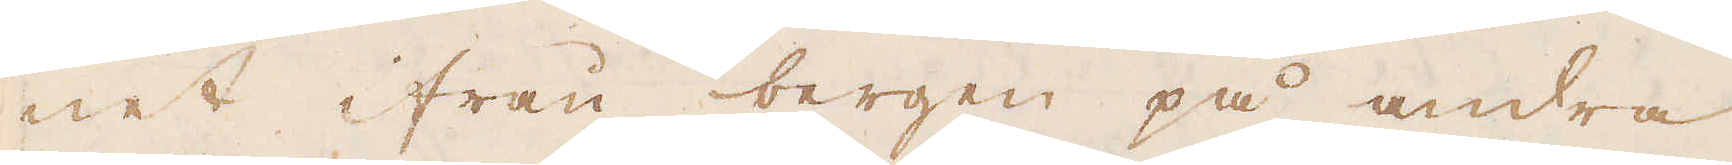net ifrån bergen på andra
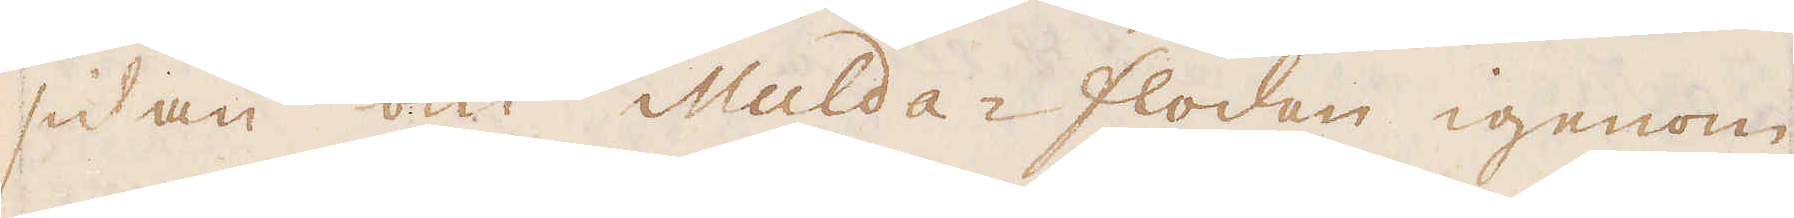sidan om Mulda-flodan igenom
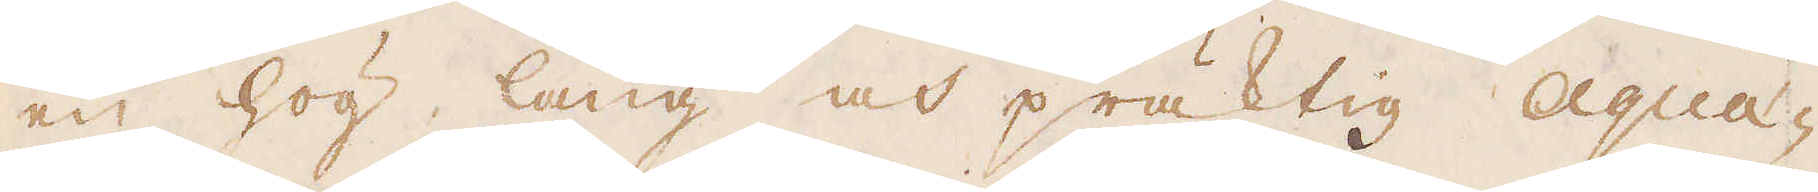en hög lång och präktig aqua-
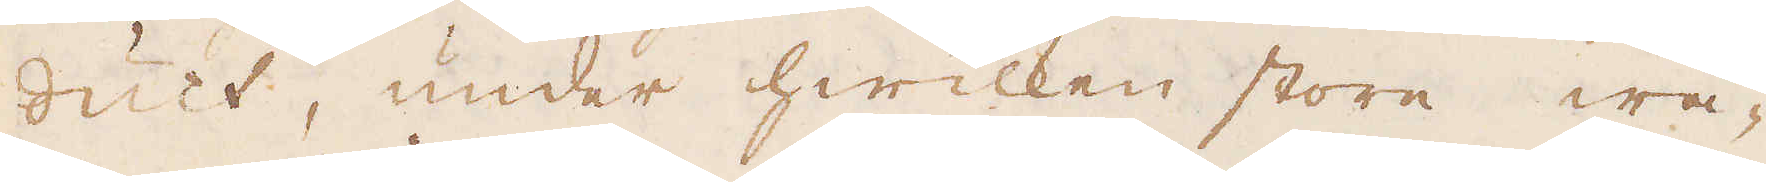duct, under hwilken store wä-
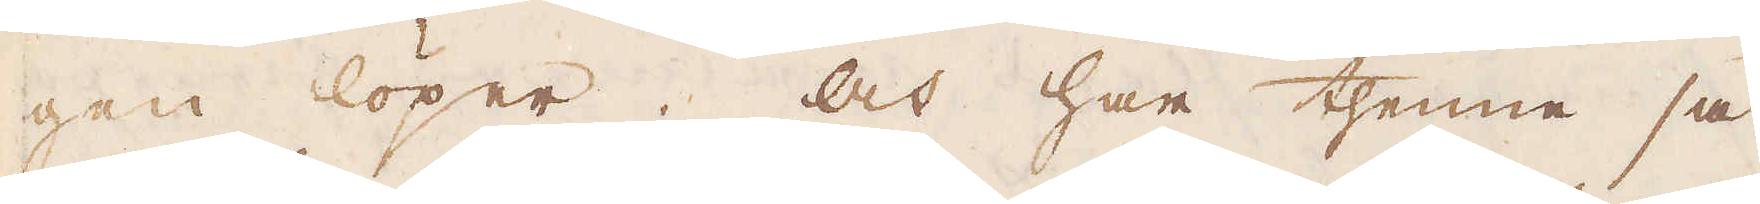gen löper. Och har thenne så
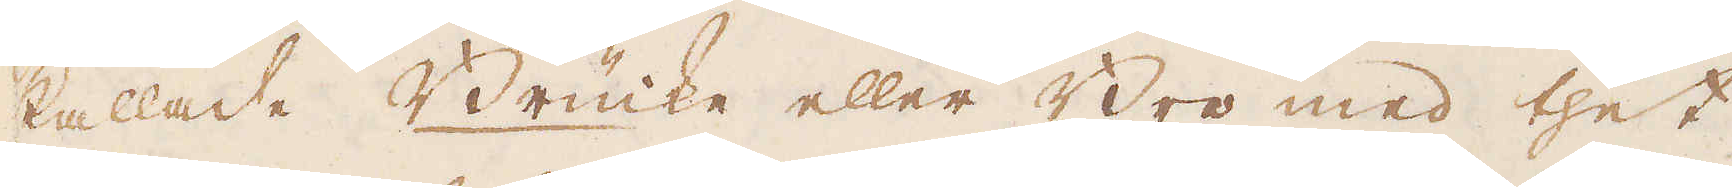kallade Brücke eller Bro med thet
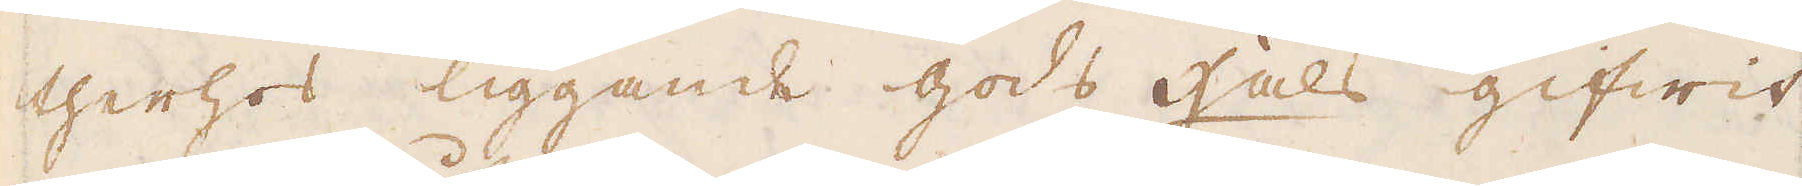therhos liggande gods hals gifwit
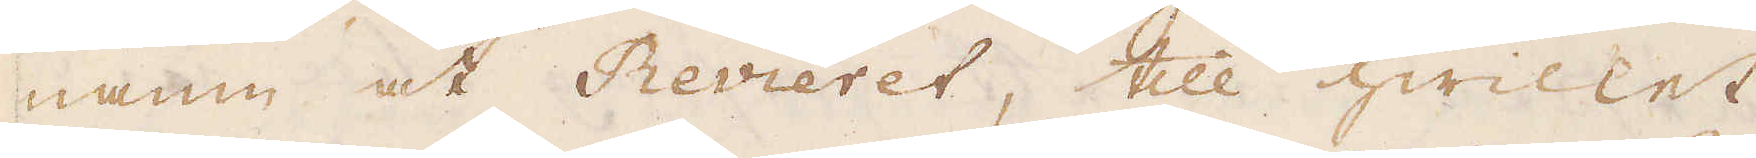namn åt Revieret, till hwillet
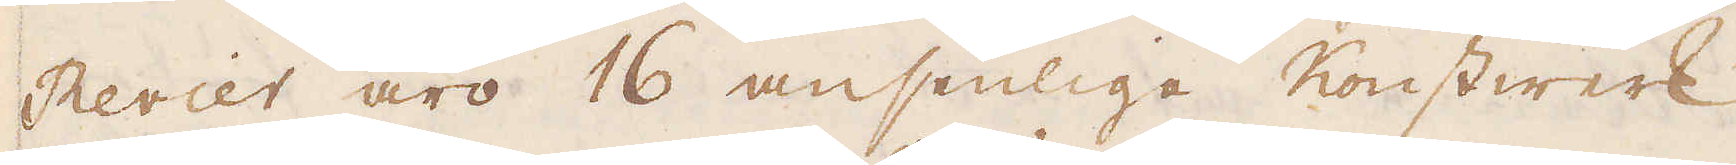Revier äro 16 ansenlige Konstwerk
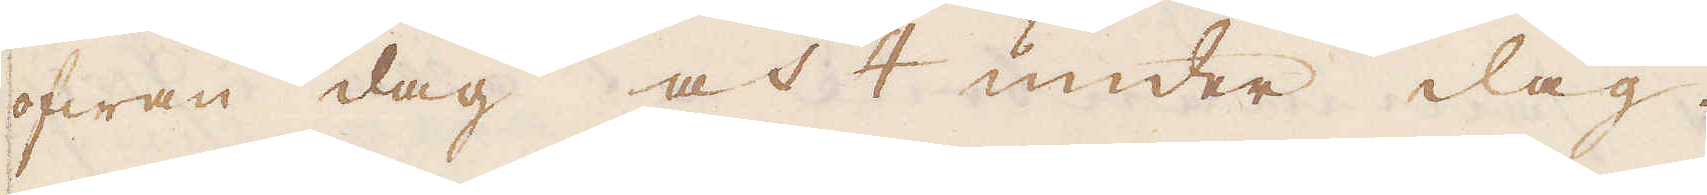ofwan dag och 4 under dag,
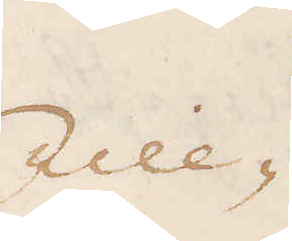Till-
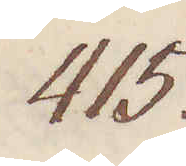415.
